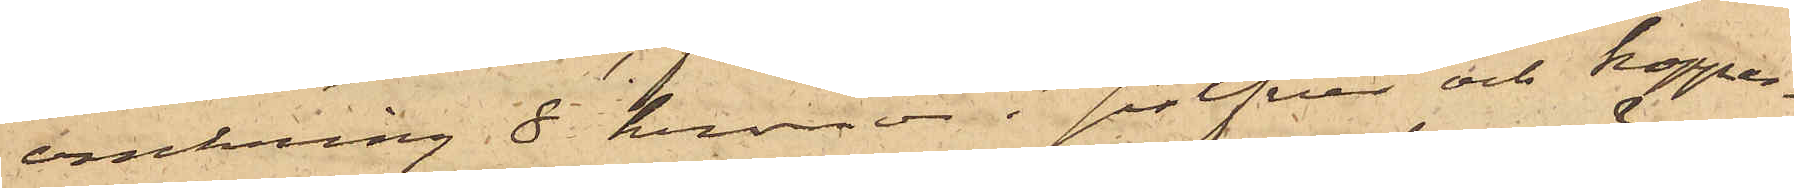omkring 8 kronor i silfver och koppar¬
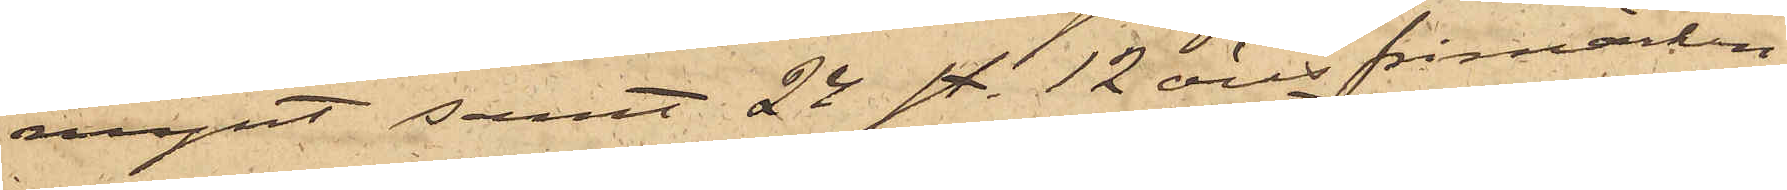mynt samt 24 st. 12 öres frimärken;
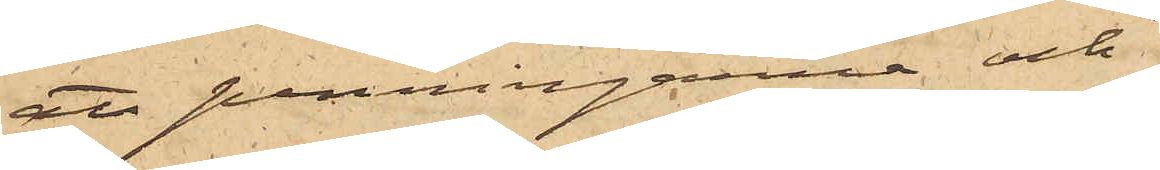att penningarne och
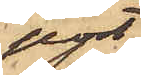post¬
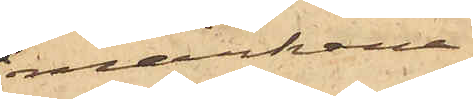märkena
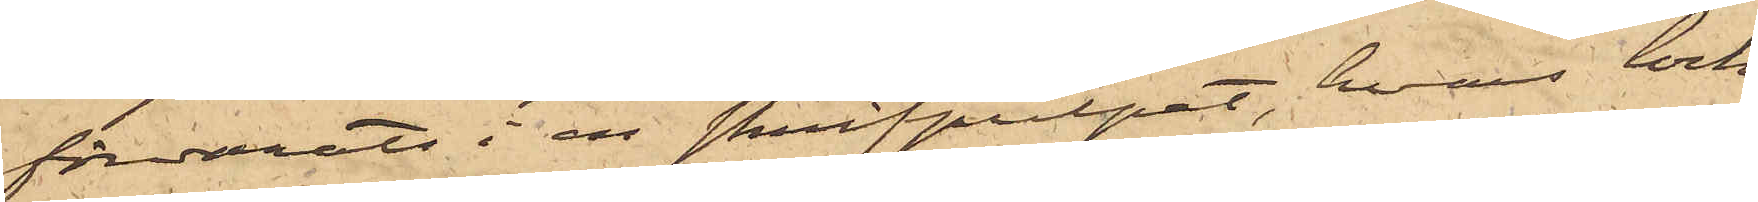förvarats i en skrifpulpet, hvars lock
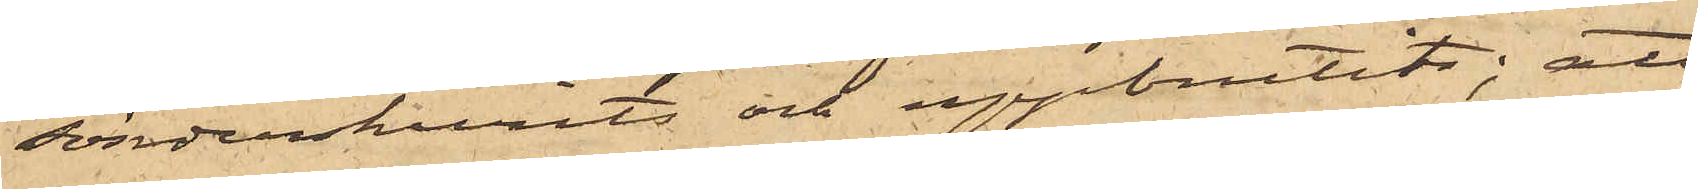sönderskurits och uppbrutits; att
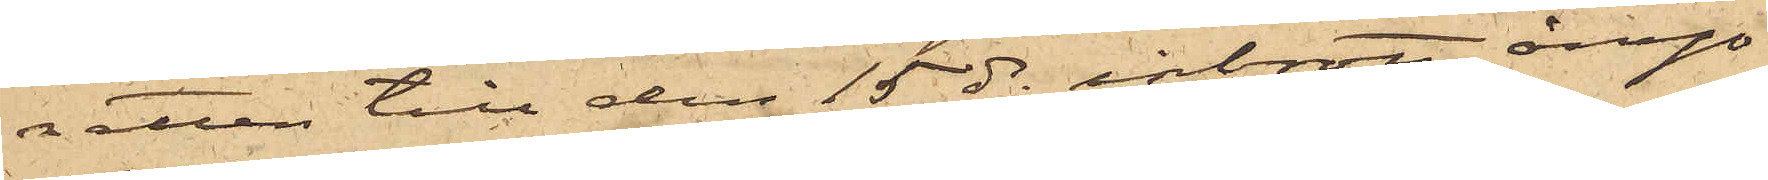natten till den 15 ds inbrott ånyo
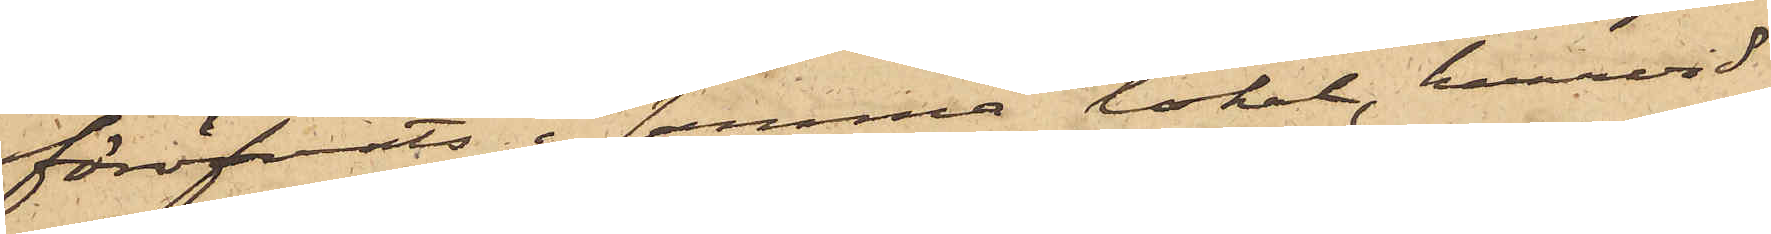föröfvats i samma lokal, hvarvid
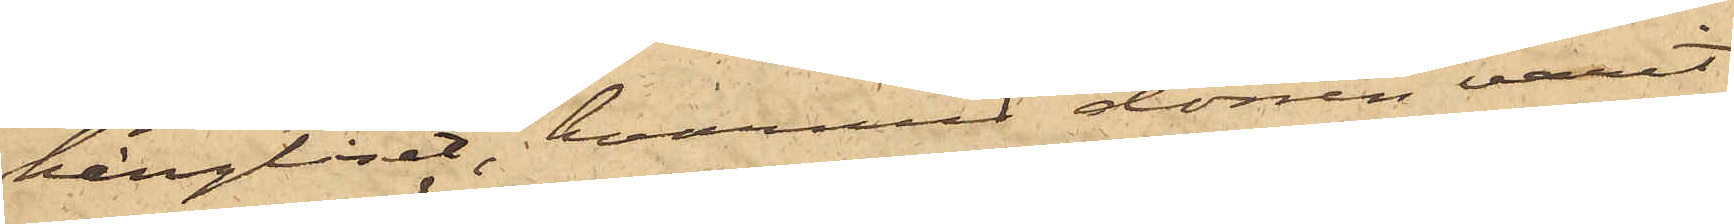hänglåset, hvarmed dörren varit
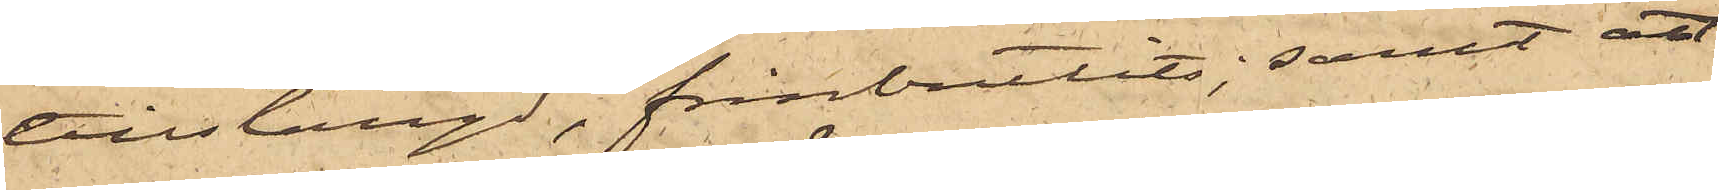tillstängd, frånbrutits; samt att
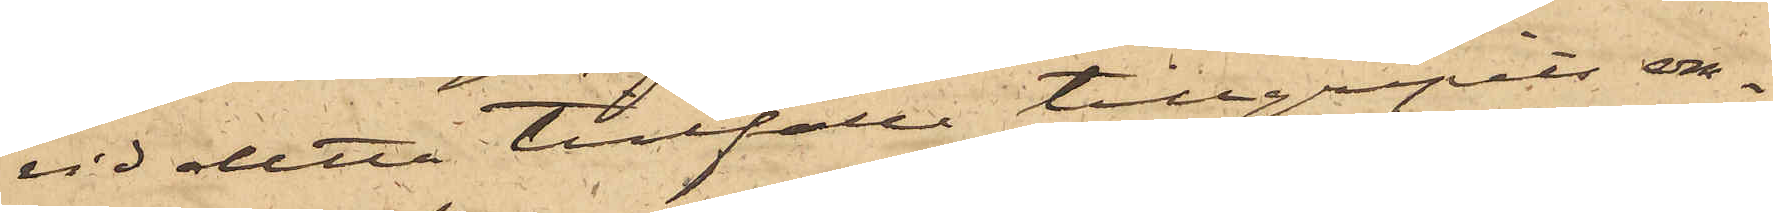vid detta tillfälle tillgripits om¬
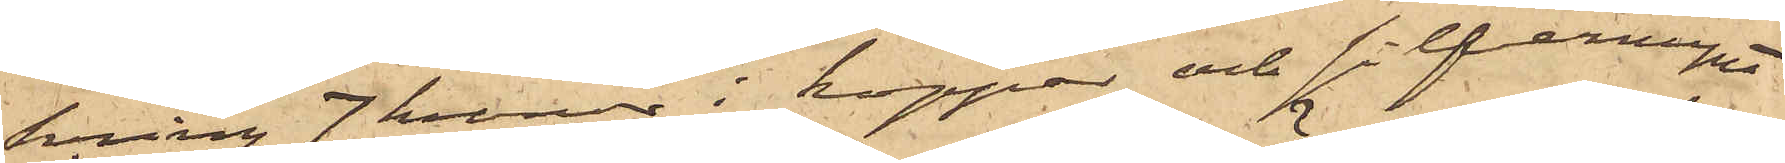kring 7 kronor i koppar och silfvermynt
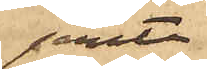jemte
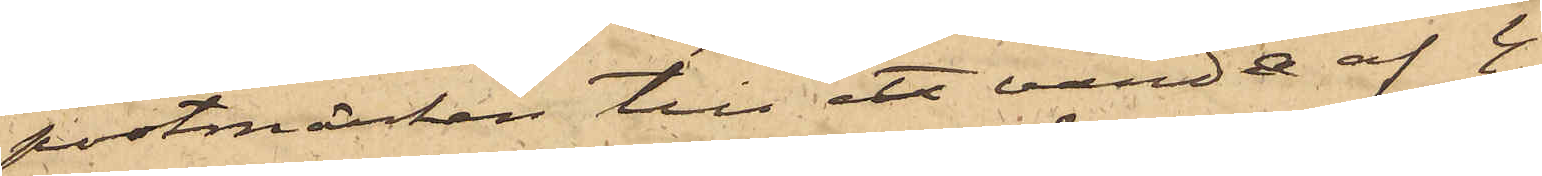postmärken till ett värde af 4
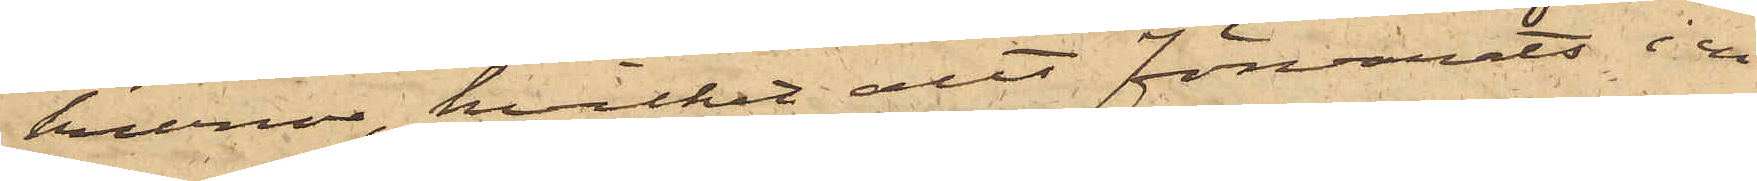kronor, hvilket allt förvarats i en
